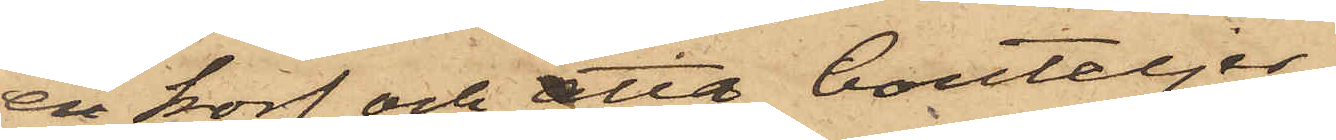en korf och åtta bouteljer,
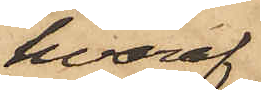hvaraf
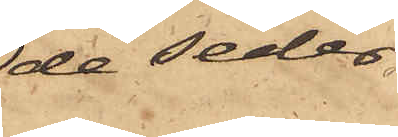de seder¬
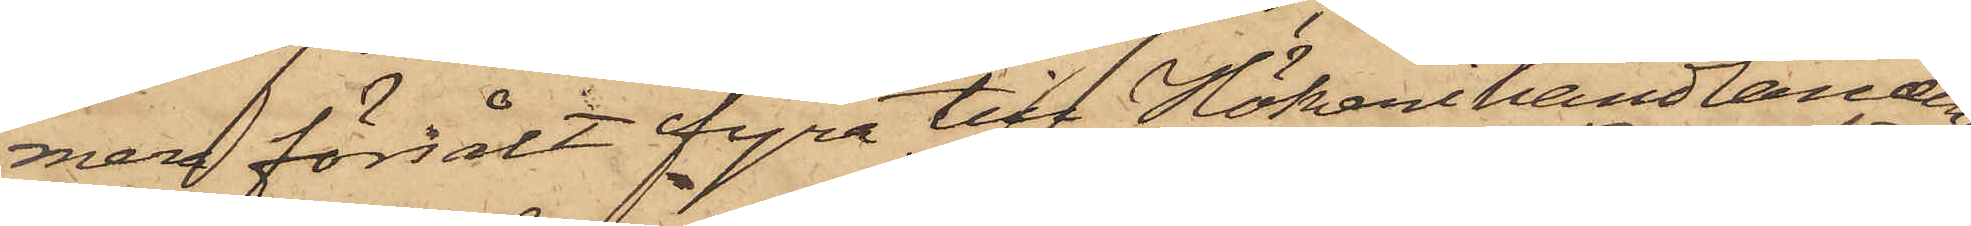mera försålt fyra till Hökerihandlanden
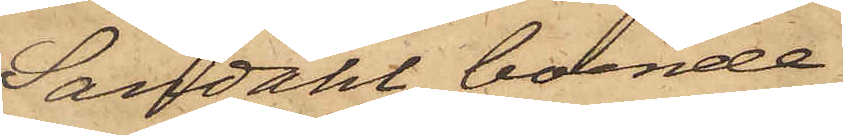Sandahl, boende
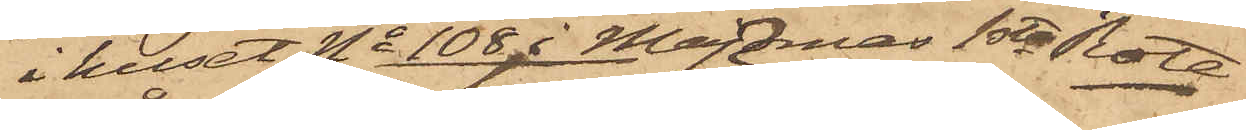i huset No 108 i Majornas 1sta Rote
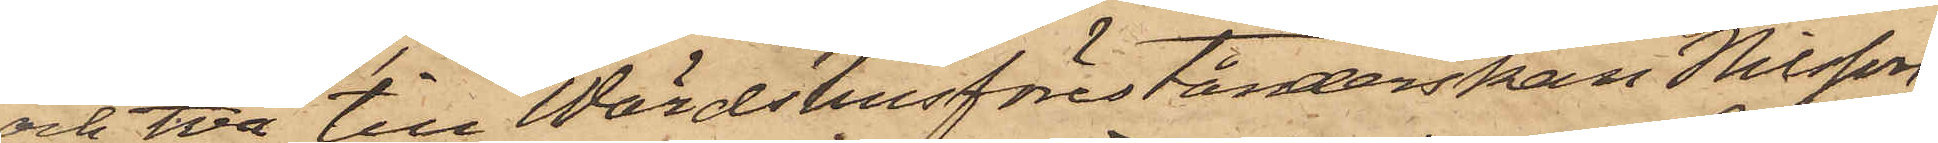och två till Wärdshusförestånderskan Nilsson
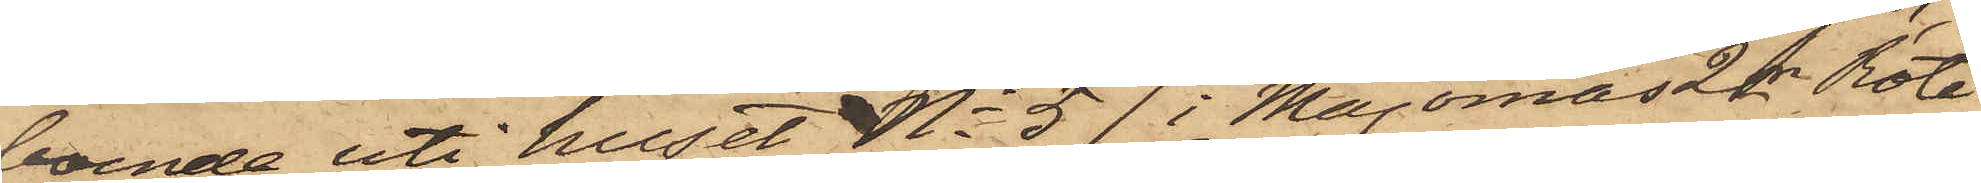boende uti huset No 57 i Majornas 2dre Rote,
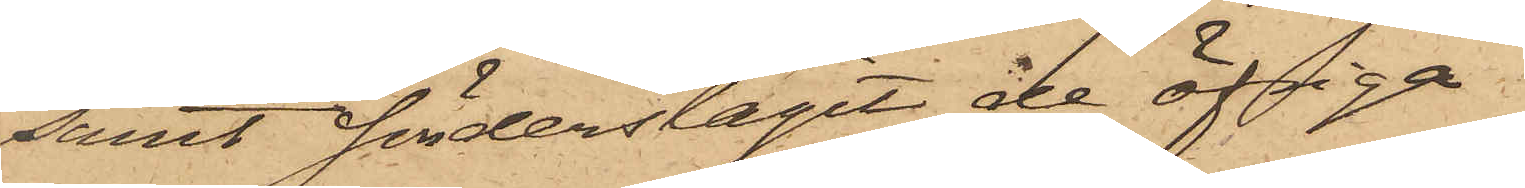samt sönderslagit de öfriga.
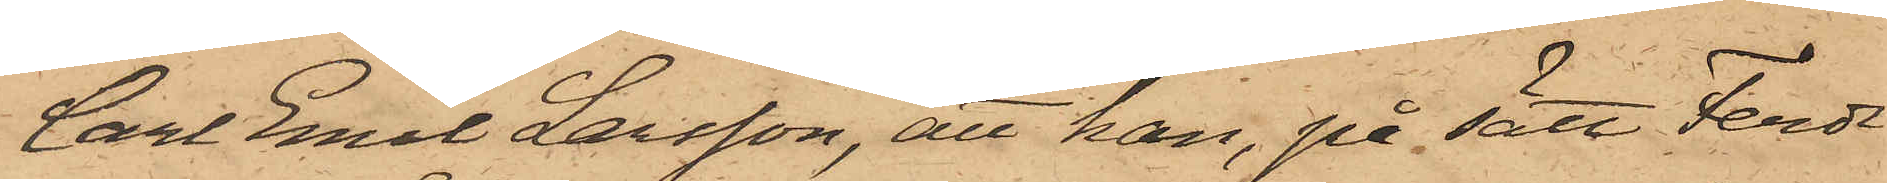Carl Emil Larsson, att han, på sätt Ferdi¬
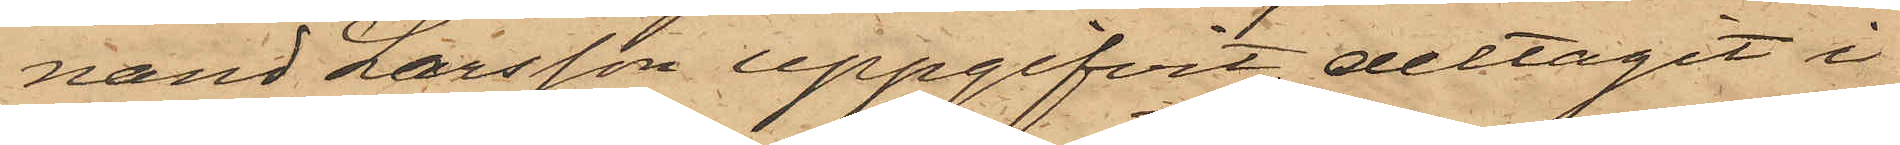nand Larsson uppgifvit, deltagit i
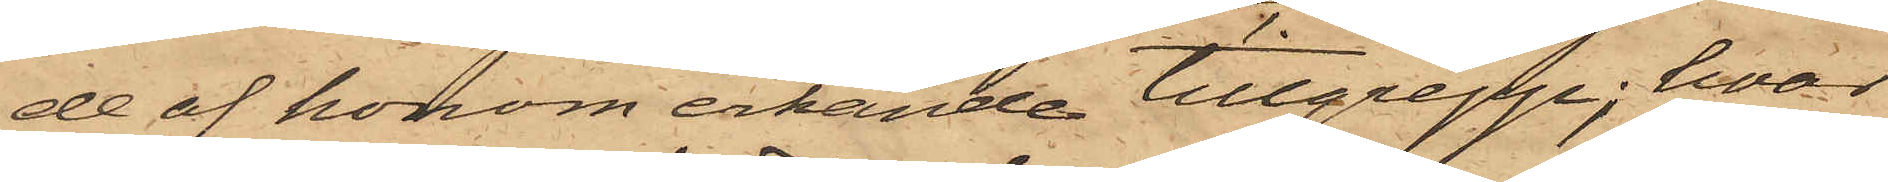de af honom erkände tillgrepp; hvar¬
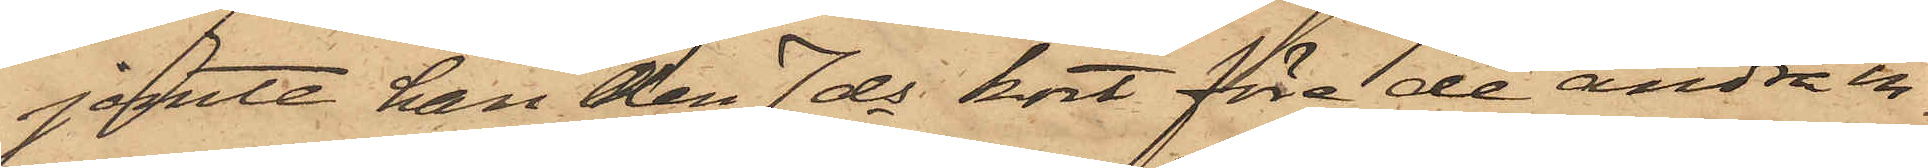jemte han den 7 ds kort före de andra in¬
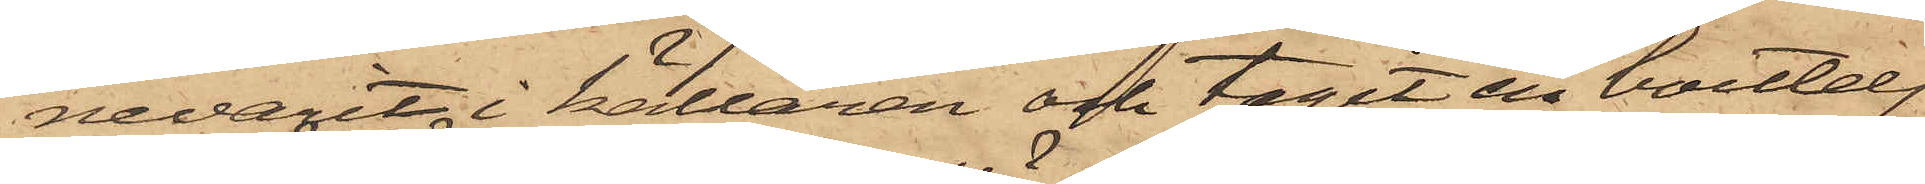nevarit i källaren och tagit en boutelj,
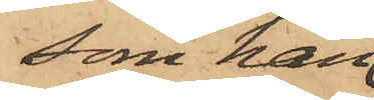som han
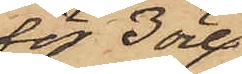för 3 öre
